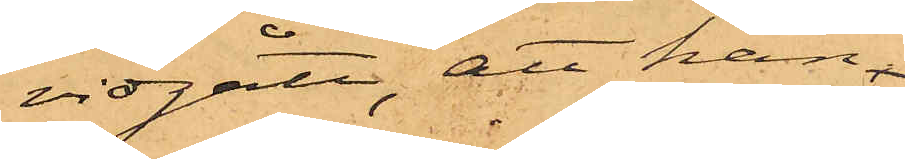vidgått, att han
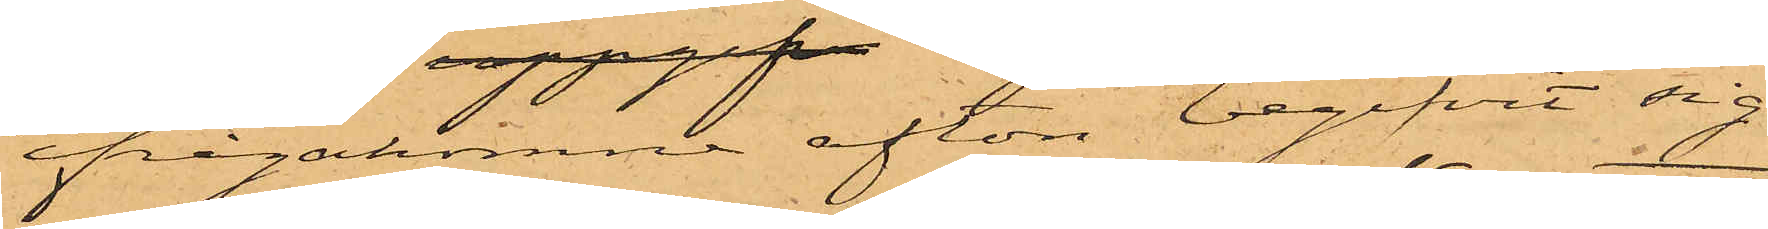ifrågakomne afton begifvit sig
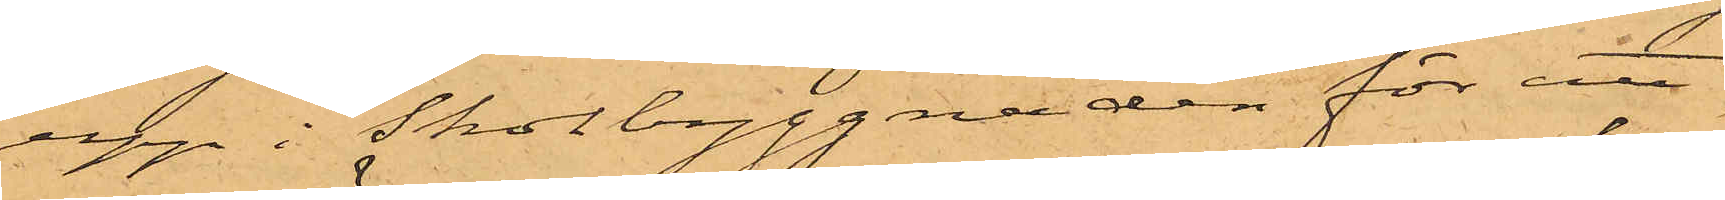upp i Skolbyggnaden för att
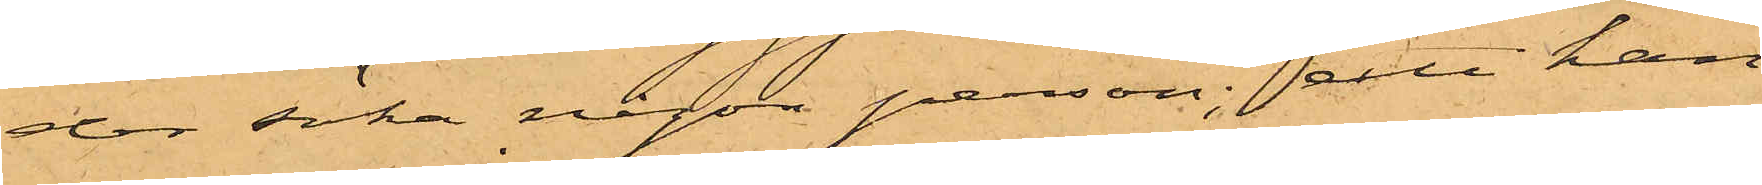der söka någon person; att han
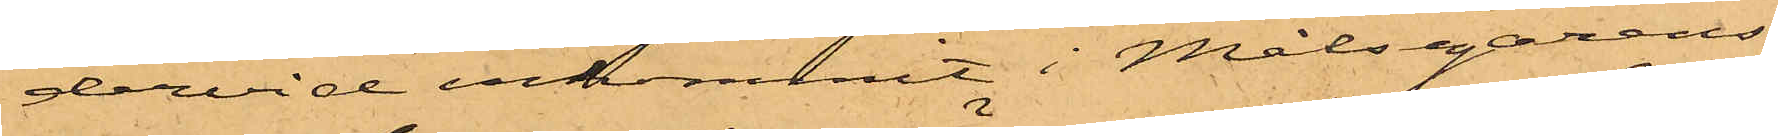dervid inkommit i Målsegarens
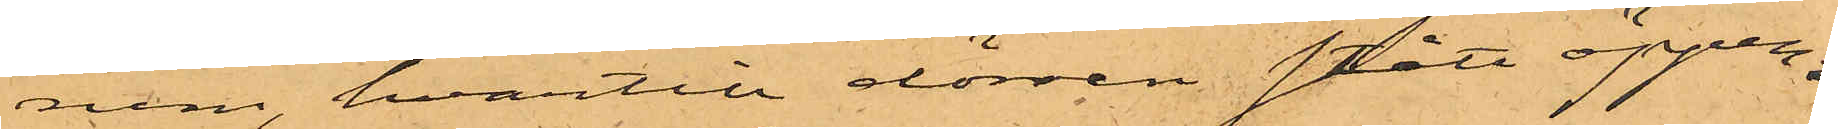rum, hvartill dörren stått öppen
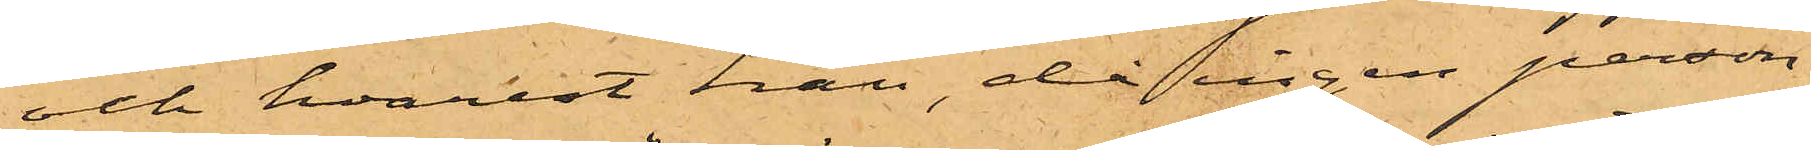och hvarest han, då ingen person
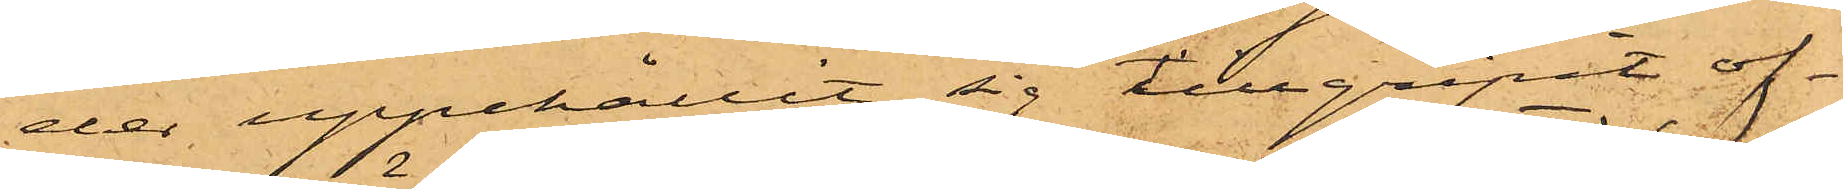der uppehållit sig tillgripit of¬
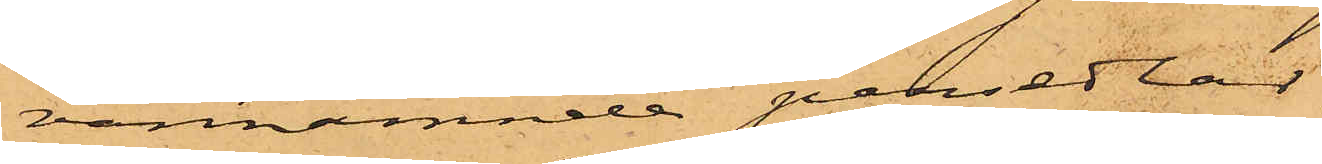vannämnde persedlar;
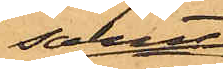samt
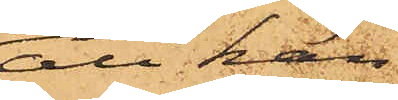att han
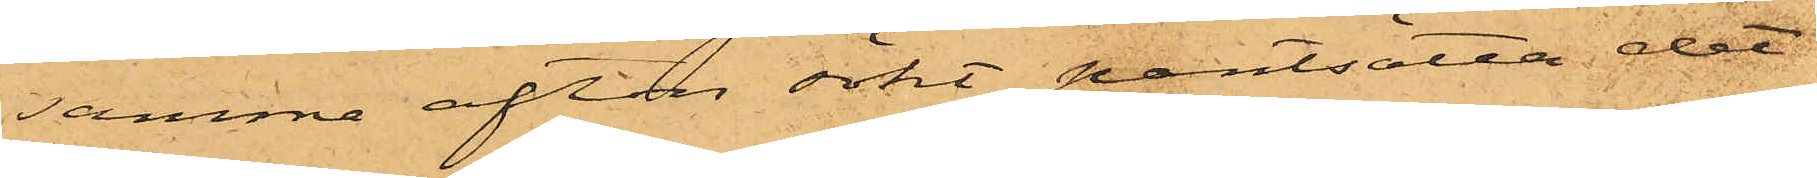samma afton sökt pantsatta det
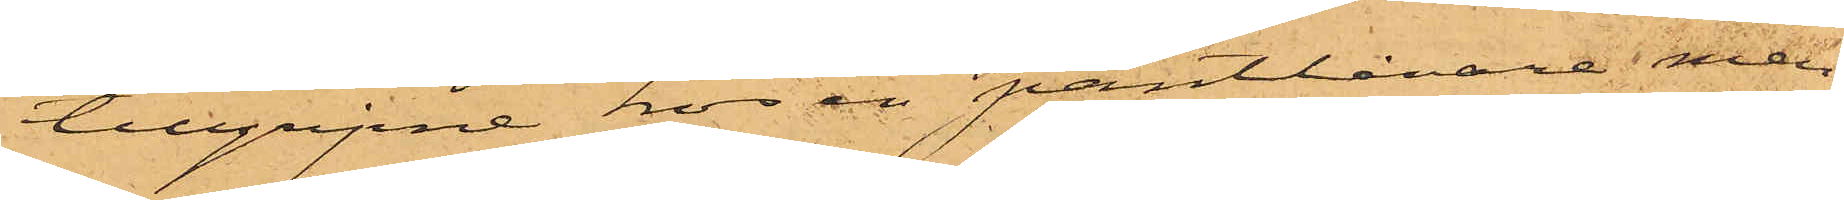tillgripne hos en pantlånare, men
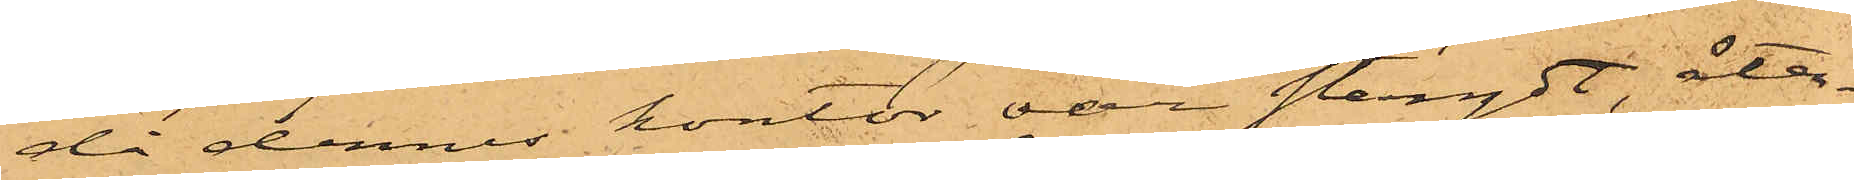då dennes kontor var stängdt, åter¬
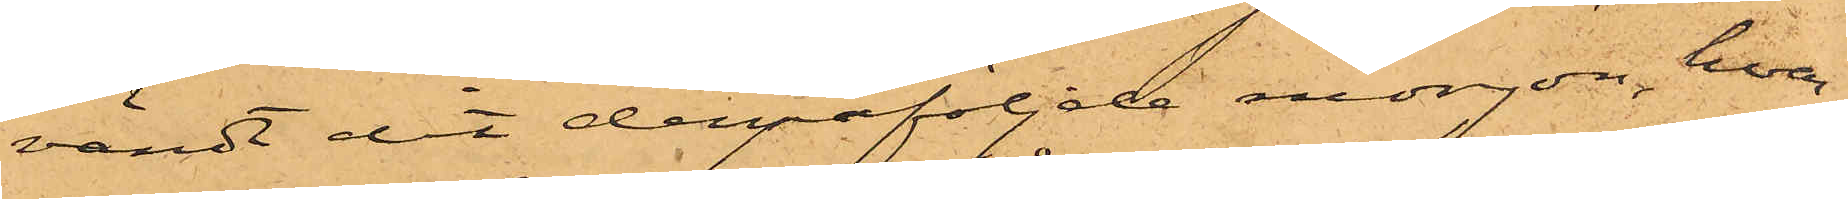vändt dit derpåföljde morgon, hvar¬
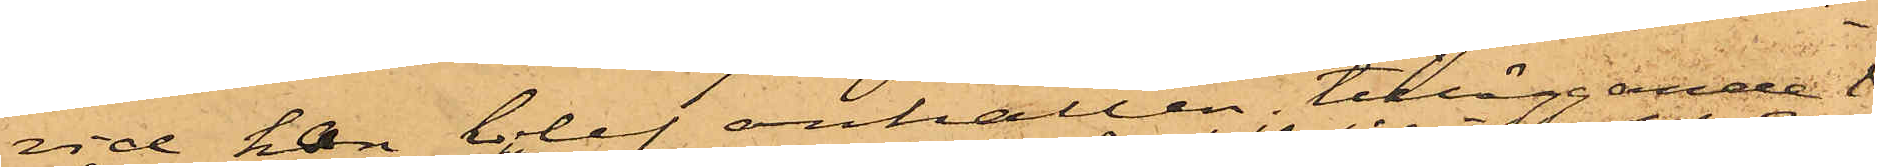vid han blef anhållen; tilläggande
